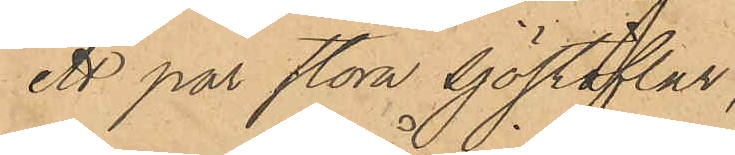Ett par stora sjöstöflar
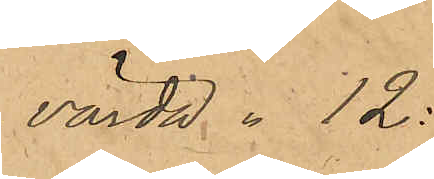värda " 12:-
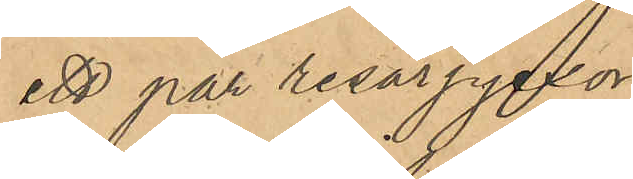ett par resårpjexor
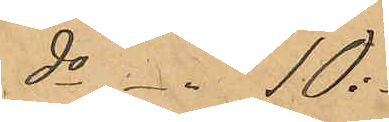do -"- 10:-
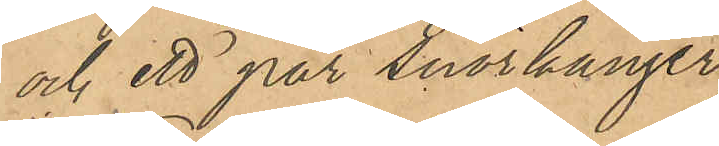och ett par snörkänger
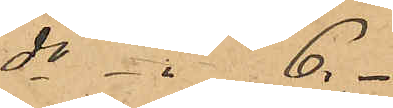do  -"-  6. -
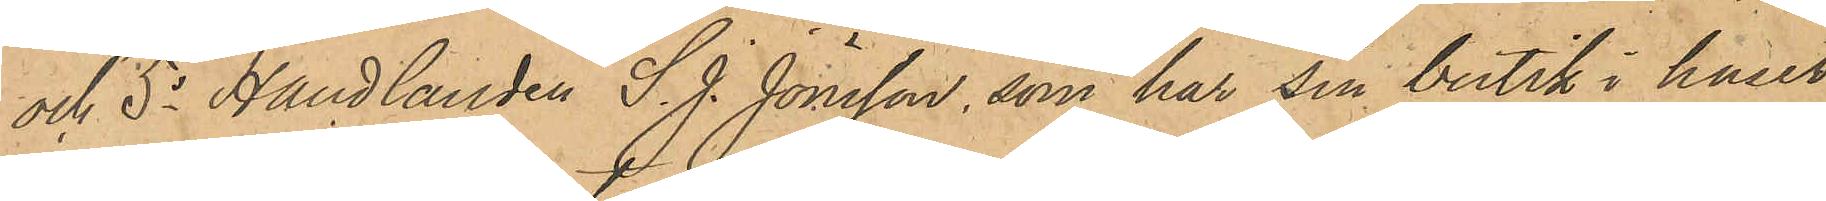och 5o Handlanden S. J. Jönsson, som har sin butik i huset
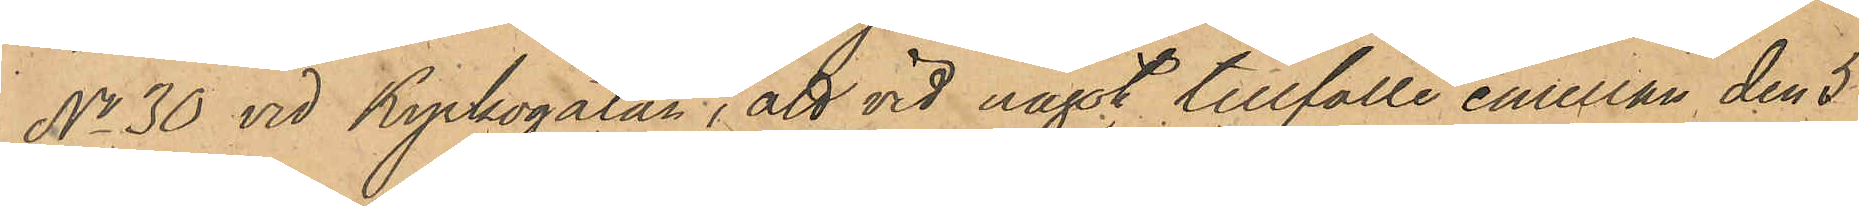No 30 vid Kyrkogatan, att vid något tillfälle emellan den 5
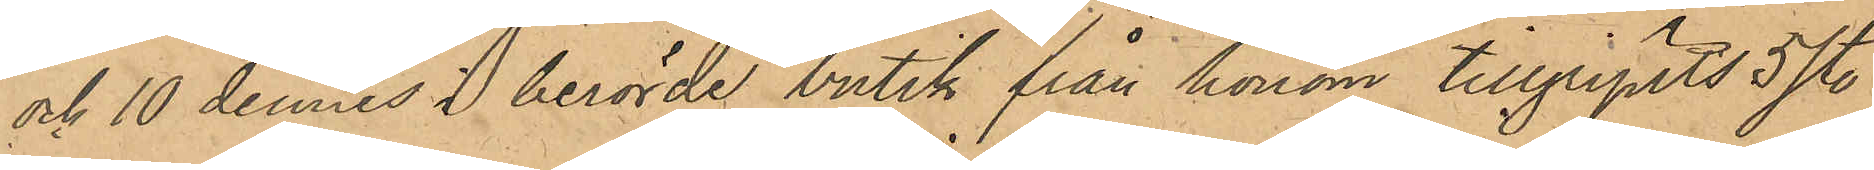och 10 dennes i berörde butik från honom tillgripits 5 st.
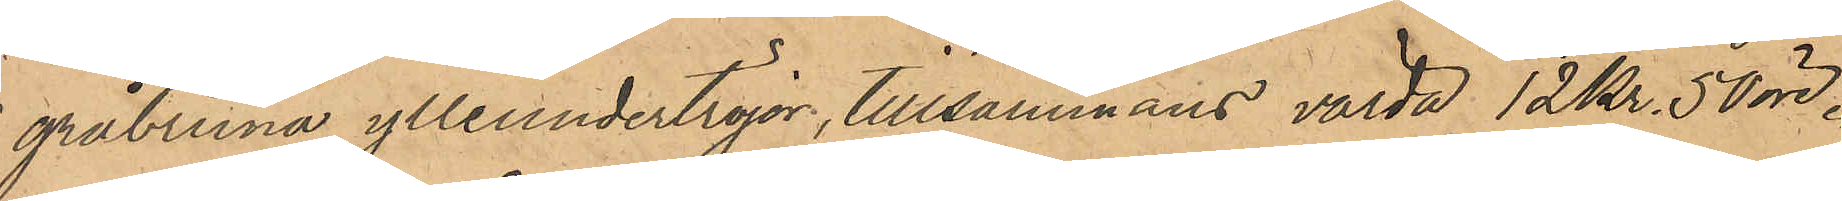gråbruna ylleundertröjor, tillsammans värda 12 Kr. 50 öre.
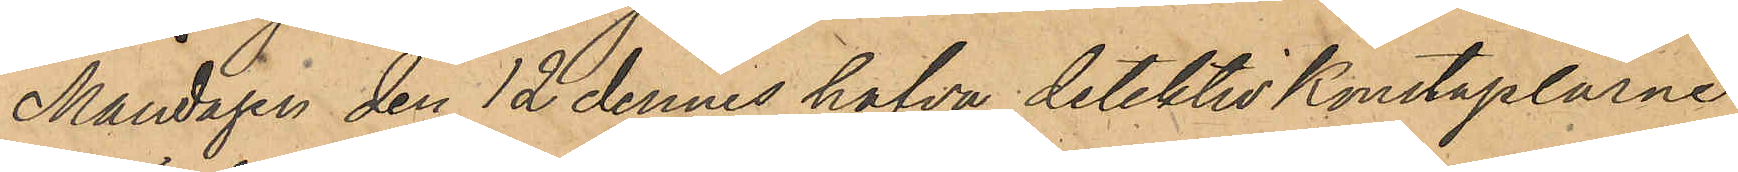Måndagen den 12 dennes hafva detektiv Konstaplarne
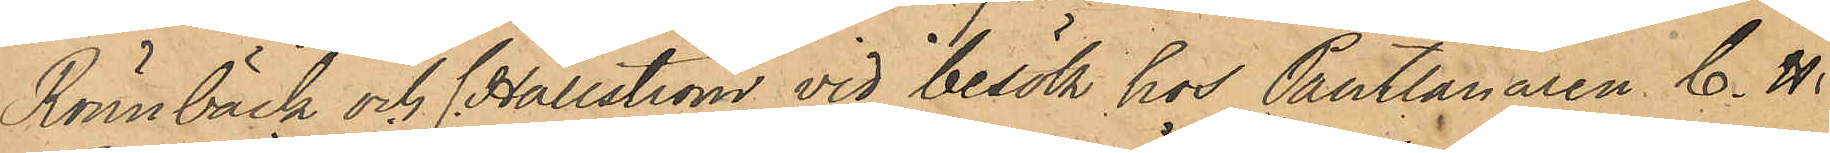Rönnbäck och C. Hällström vid besök hos Pantlånaren C. H.
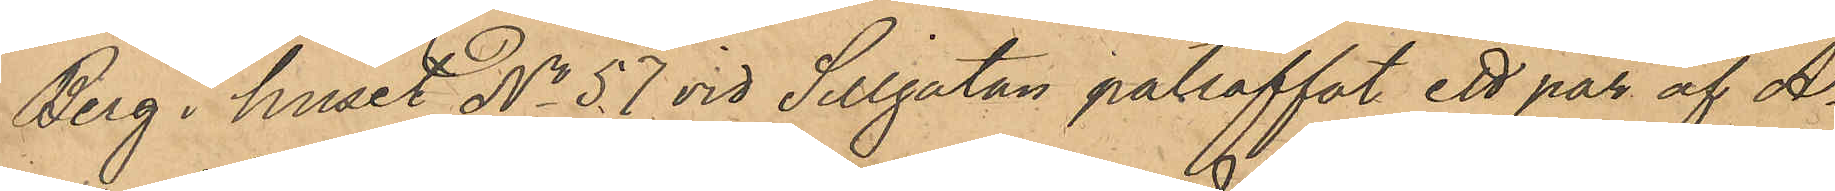Berg i huset No 57 vid Sillgatan påträffat ett par af A¬
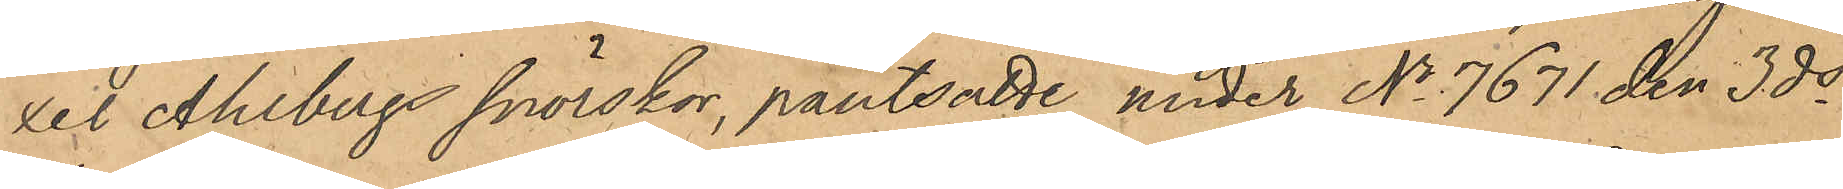xel Ahlbergs snörskor, pantsatte under No 7671 den 3 ds
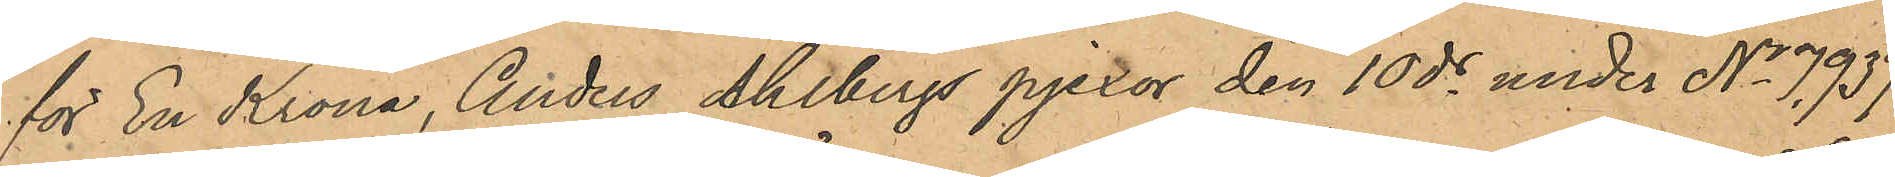för En Krona, Anders Ahlbergs pjexor den 10 ds under No 7937
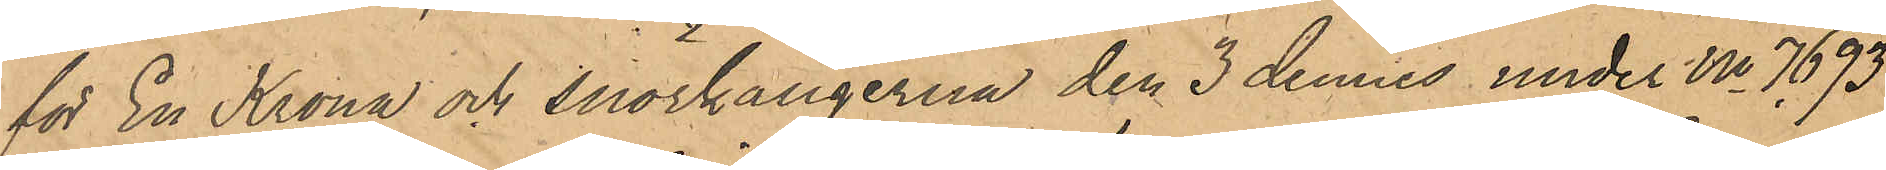för En Krona och snörkängerna den 3 dennes under No 7693
